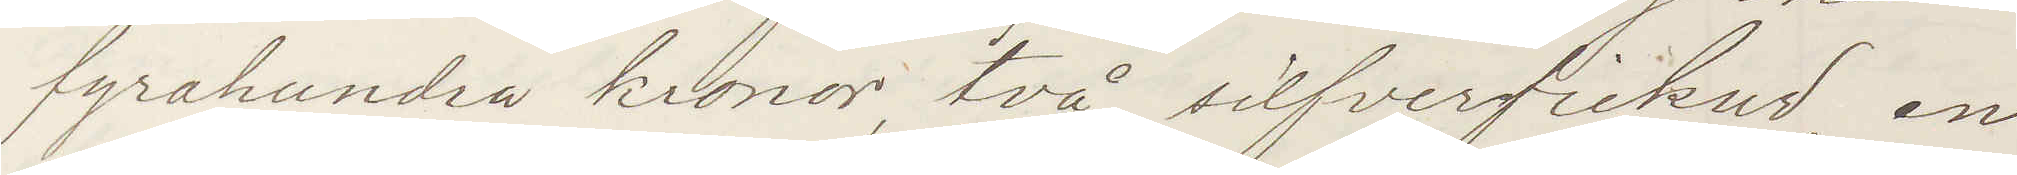fyrahundra kronor, två silfverfickur, en
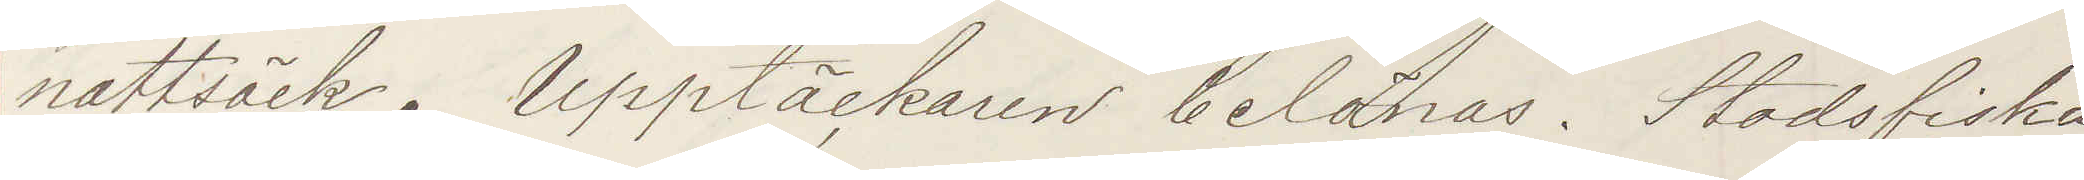nattsäck. Upptäckaren belönas! Stadsfiska¬
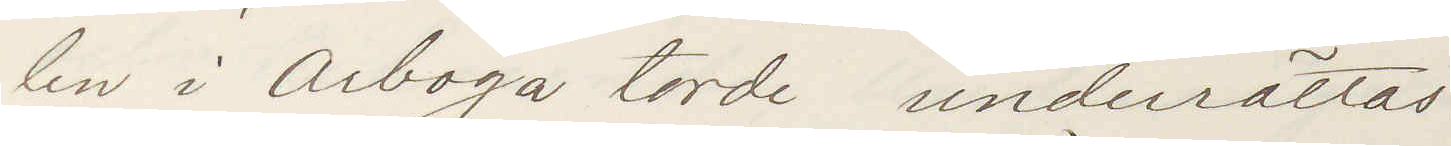len i Arboga torde underrättas:
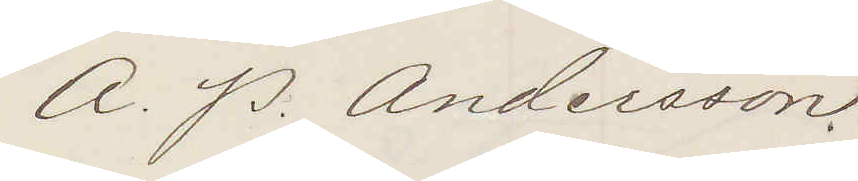A. P. Andersson.
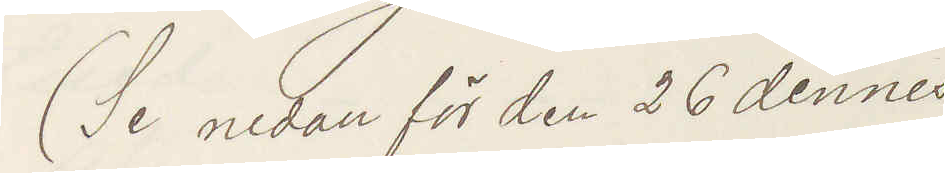(Se nedan för den 26 dennes)
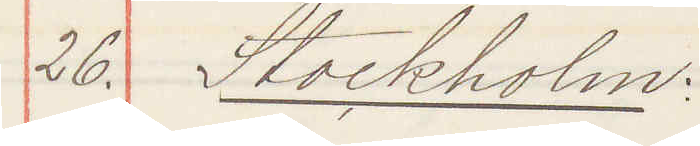26. Stockholm:
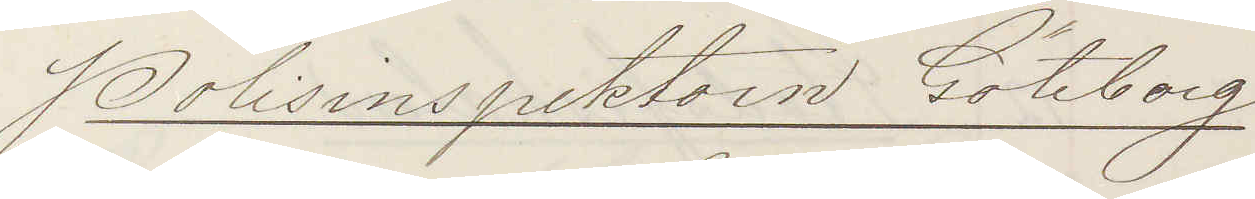Polisinspektorn Göteborg
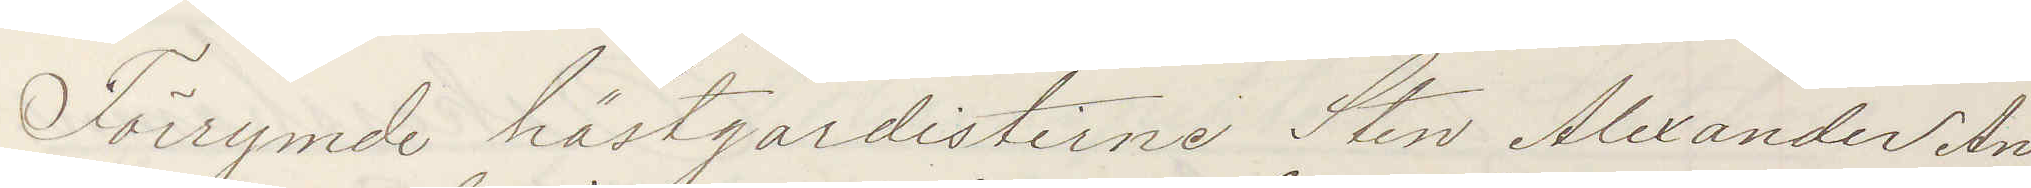Förrymde hästgardisterne Sten Alexander An¬
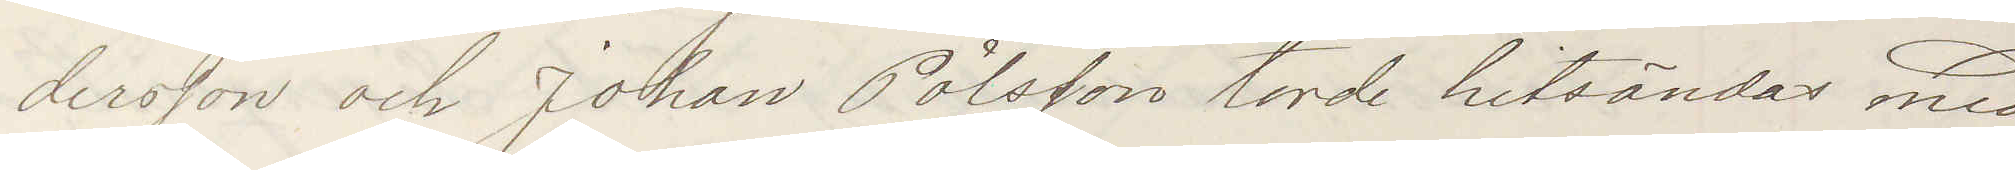dersson och Johan Pålsson torde hitsändas med
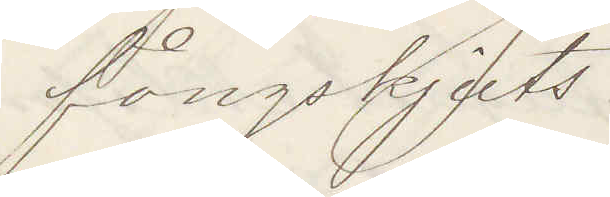fångskjuts.
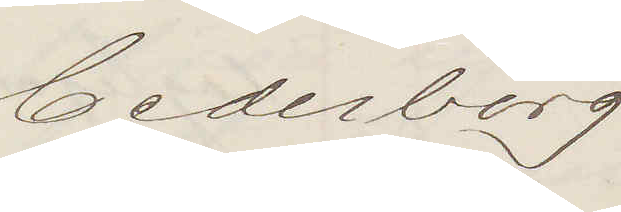Cederborg
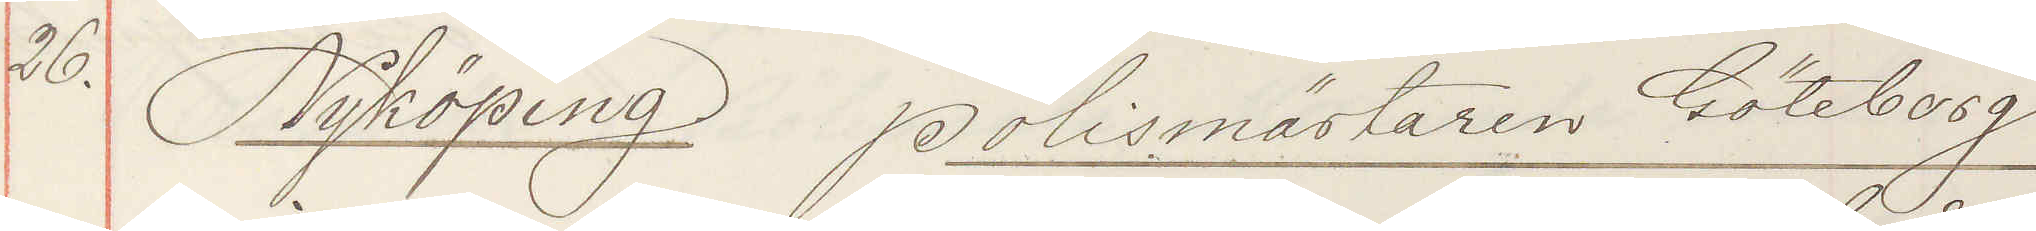26. Nyköping Polismästaren  Göteborg
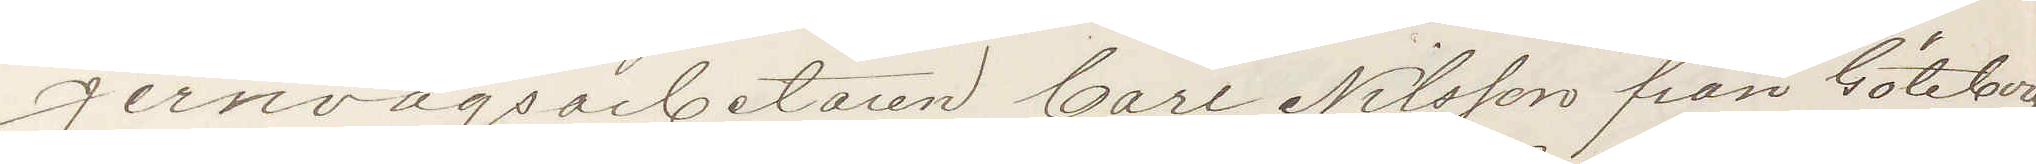Jernvägsarbetaren Carl Nilsson från Göteborg
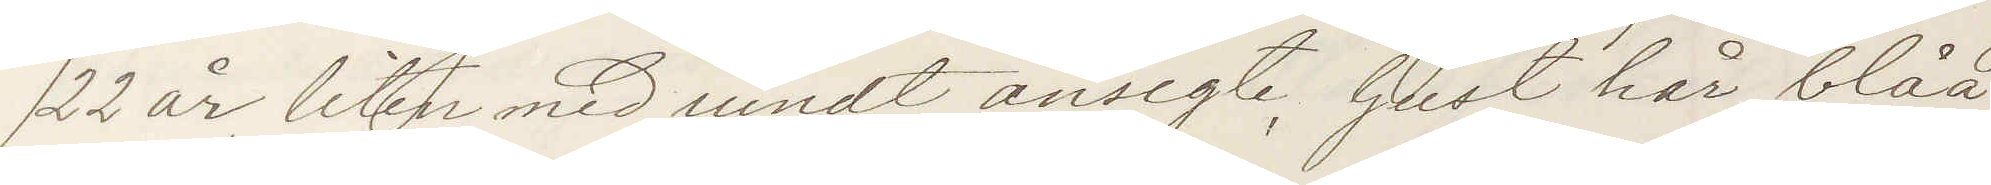22 år, liten med rundt ansigte, ljust hår, blåa
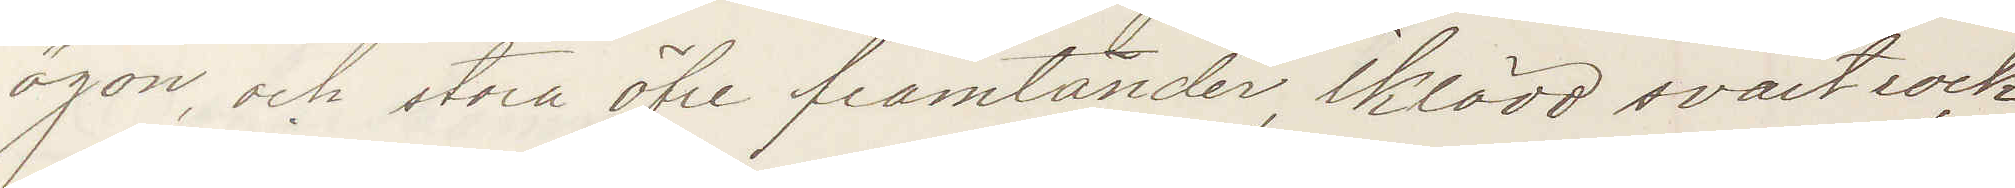ögon och stora öfre framtänder, iklädd svart rock
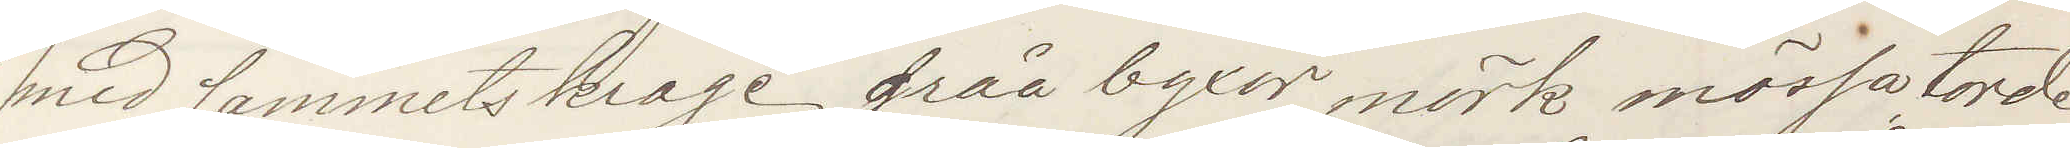med sammetskrage gråa byxor mörk mössa torde
